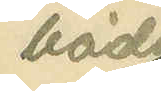båda
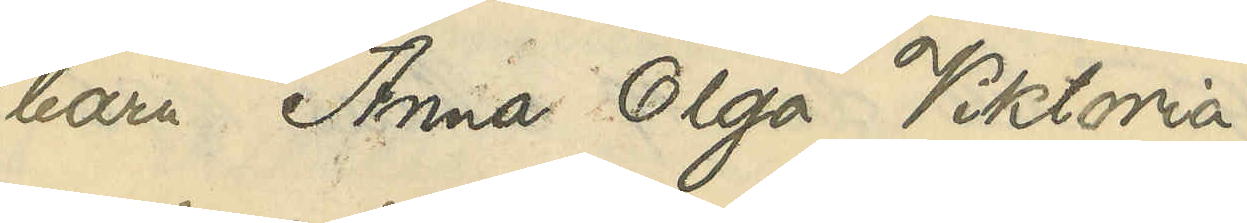barn Anna Olga Viktoria,
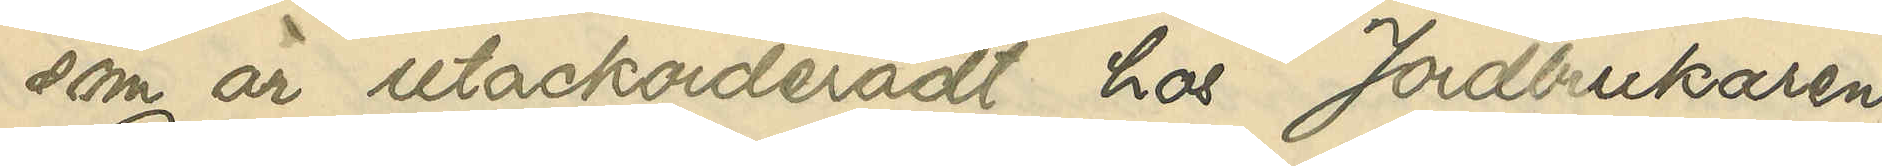som är utackorderadt hos Jordbrukaren
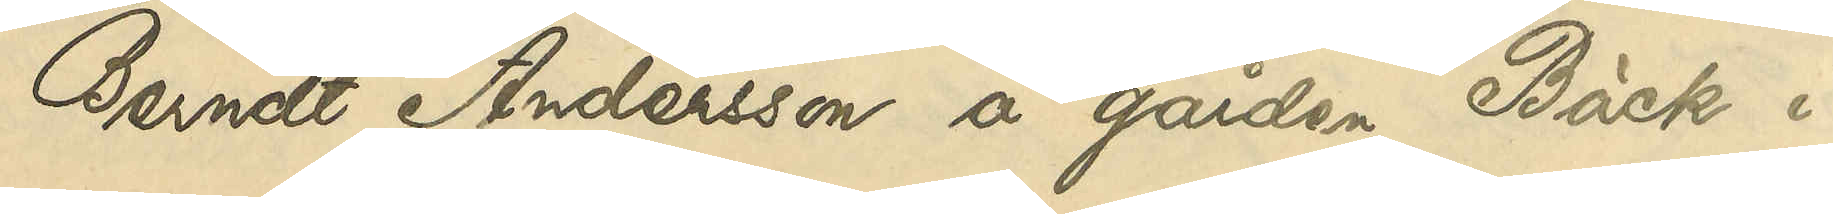Berndt Andersson å gården Bäck i
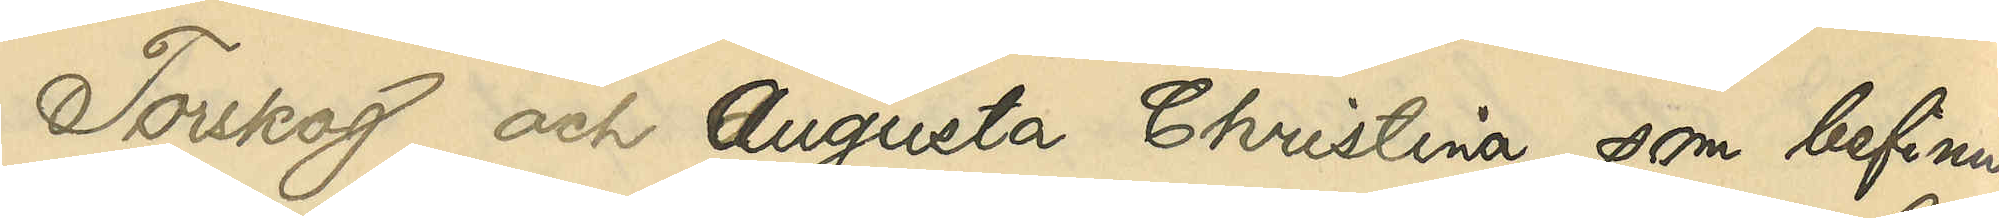Torskog och Augusta Christina, som befinner
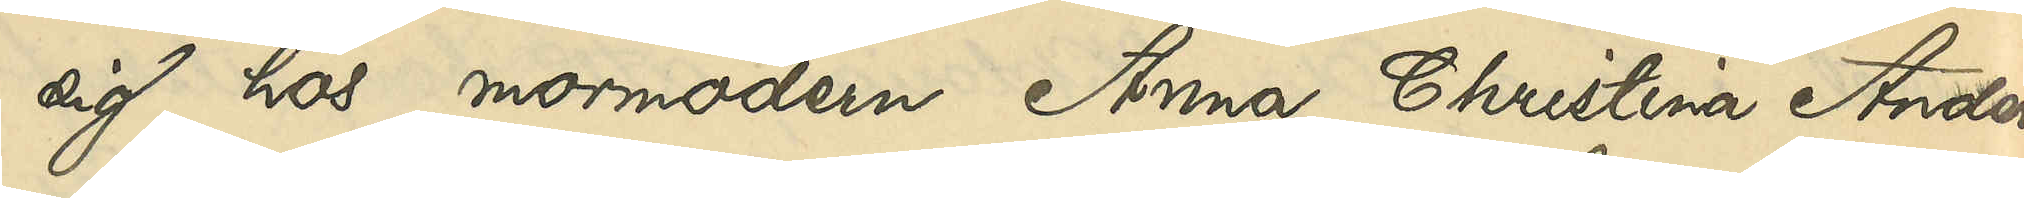sig hos mormodern Anna Christina Anders¬
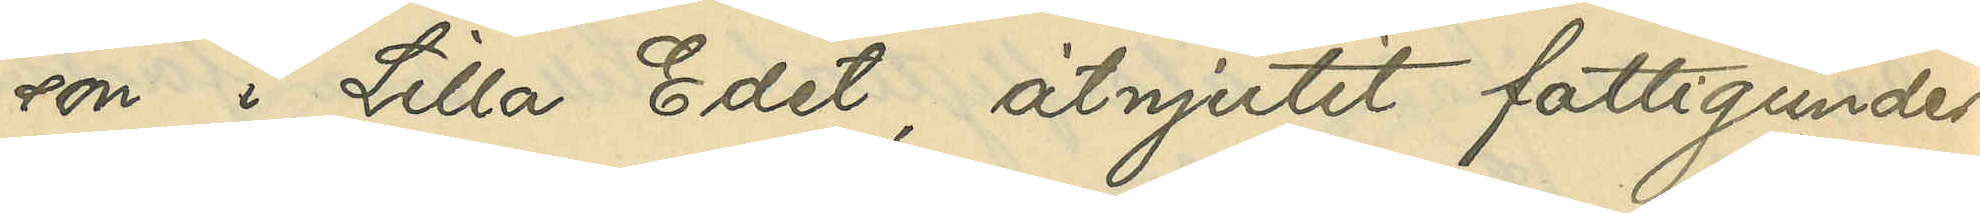son i Lilla Edet, åtnjutit fattigunder¬
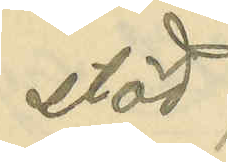stöd;
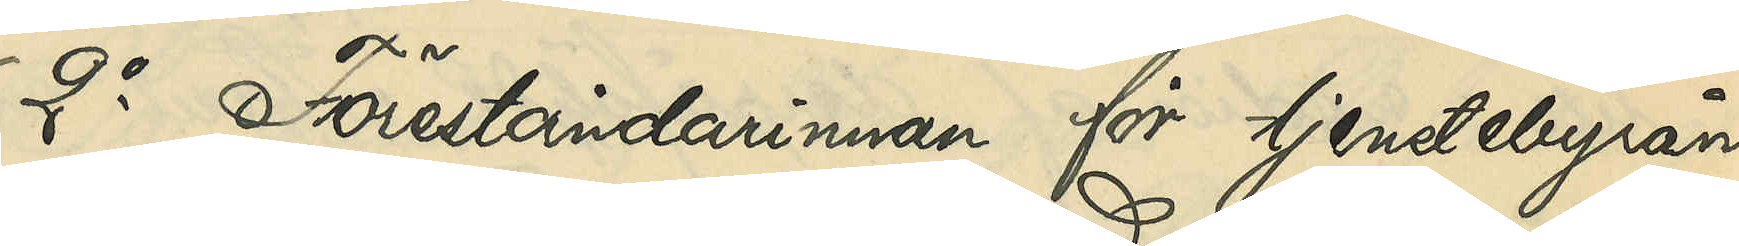2o Föreståndarinnan för tjenstebyrån
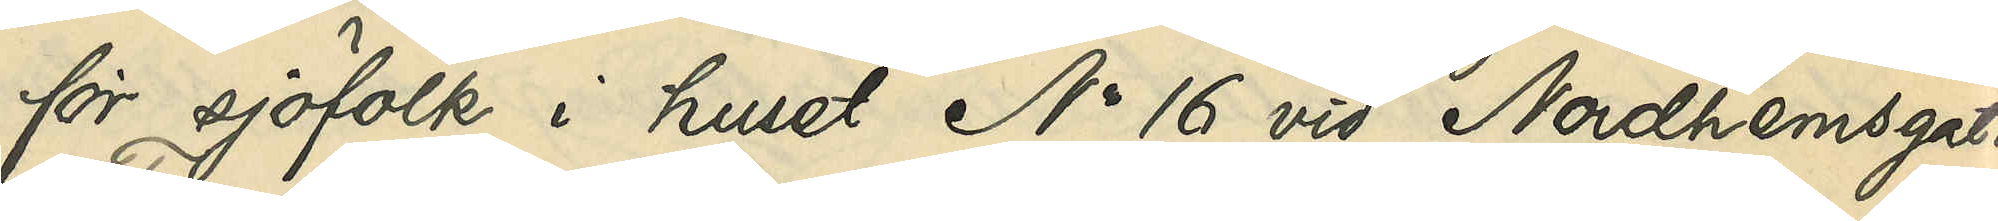för sjöfolk i huset No 16 vid Nordhemsgatan
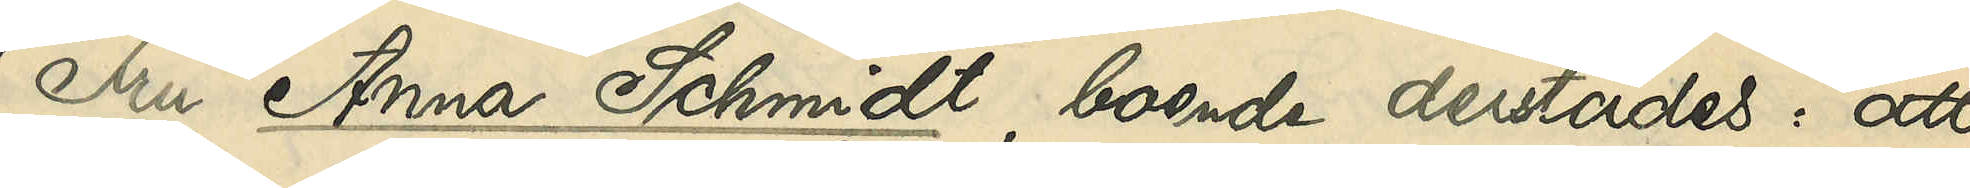Fru Anna Schmidt, boende derstädes: att
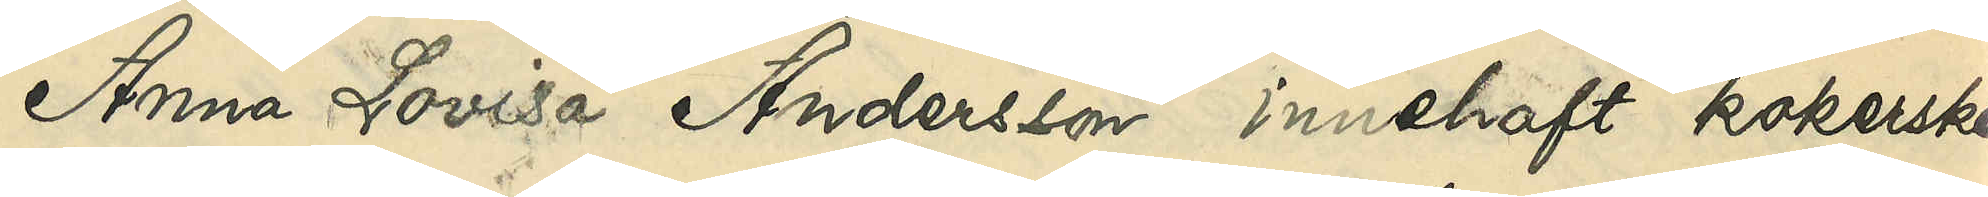Anna Lovisa Andersson innehaft kokerske¬
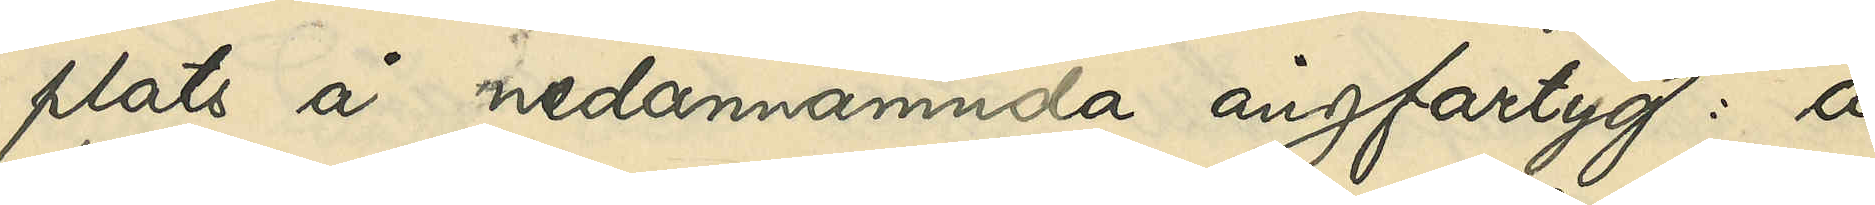plats å nedannämnda ångfartyg: å
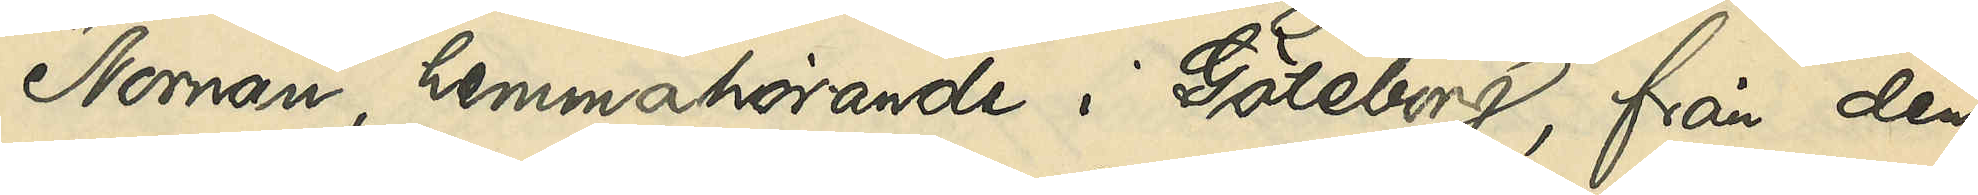"Nornan", hemmahörande i Göteborg, från den
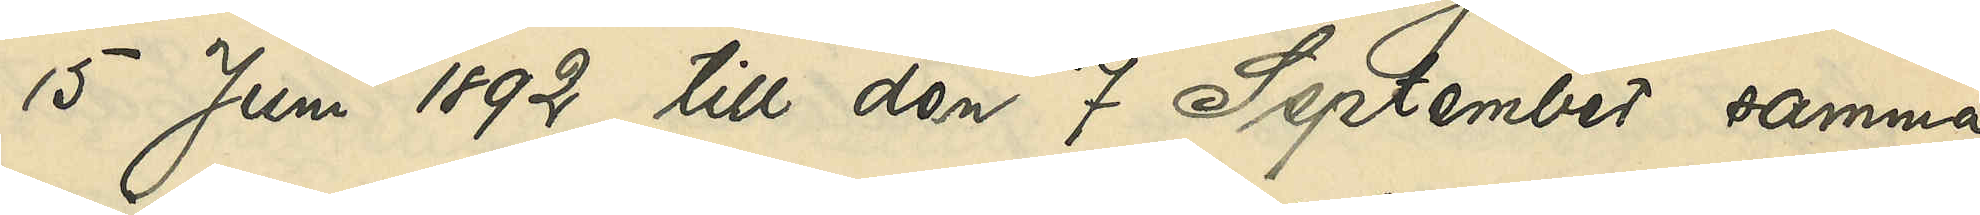15 Juni 1892 till den 7 September samma
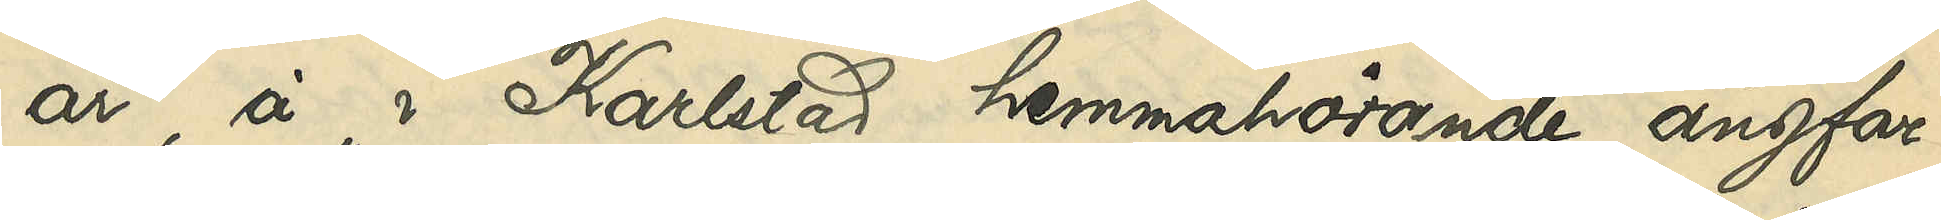år, å i Karlstad hemmahörande ångfar¬
